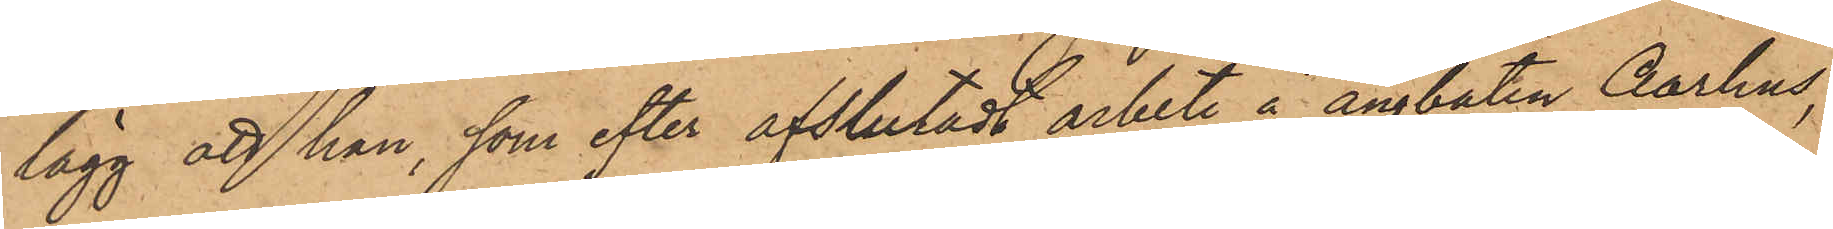lägg att han, som efter afslutadt arbete å ångbåten Aarhus,
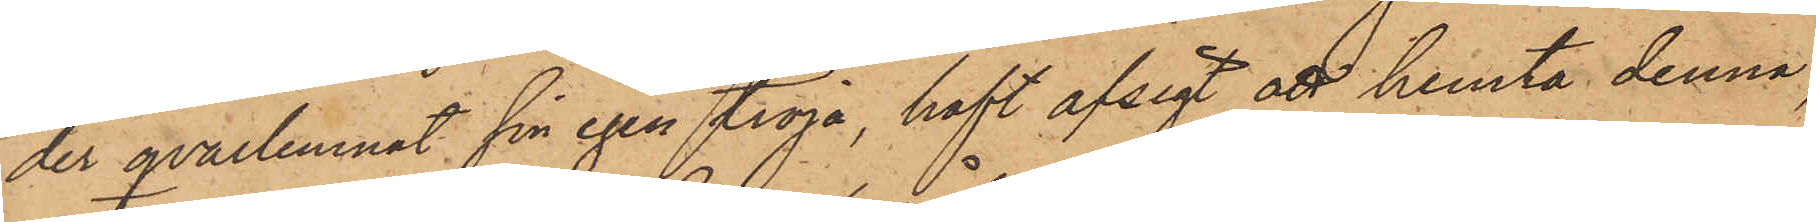der qvarlemnat sin egen tröja, haft afsigt att hemta denna,
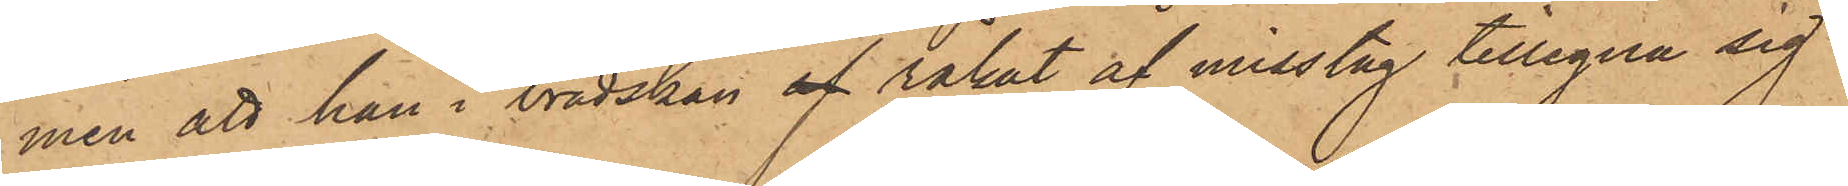men att han i brådskan af råkat af misstag tillegna sig
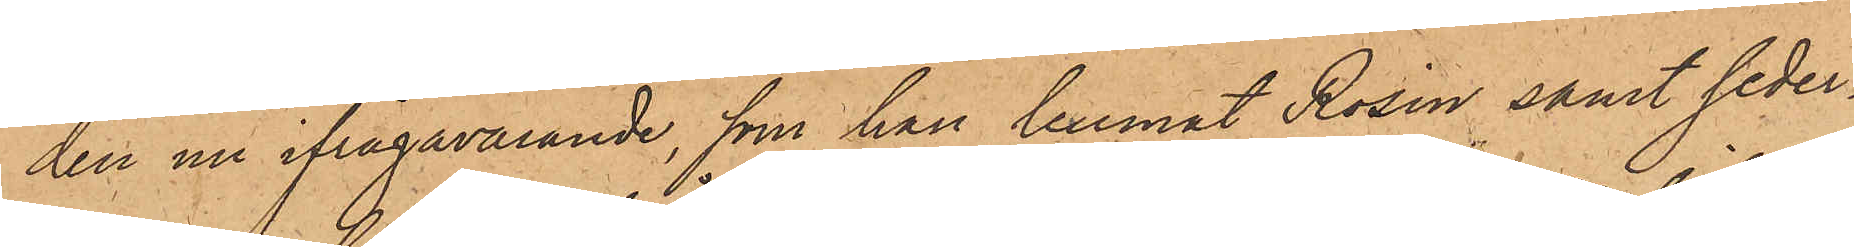den nu ifrågavarande, som han lemnat Rosén samt seder¬
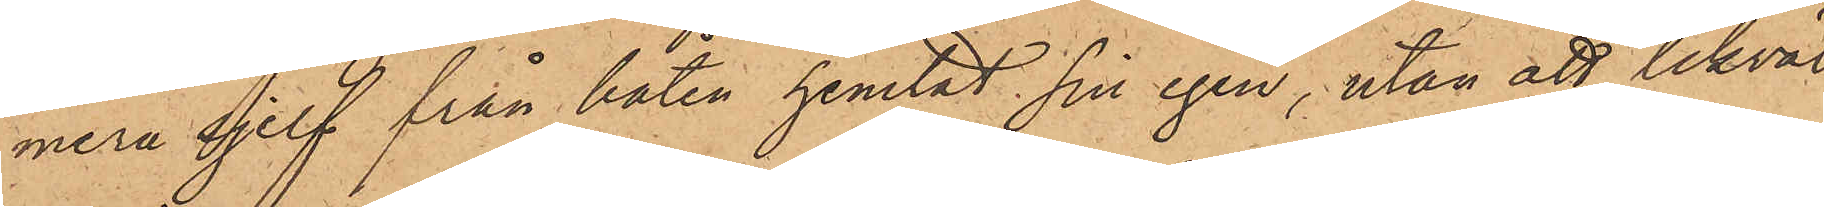mera sjelf från båten hemtat sin egen, utan att likväl
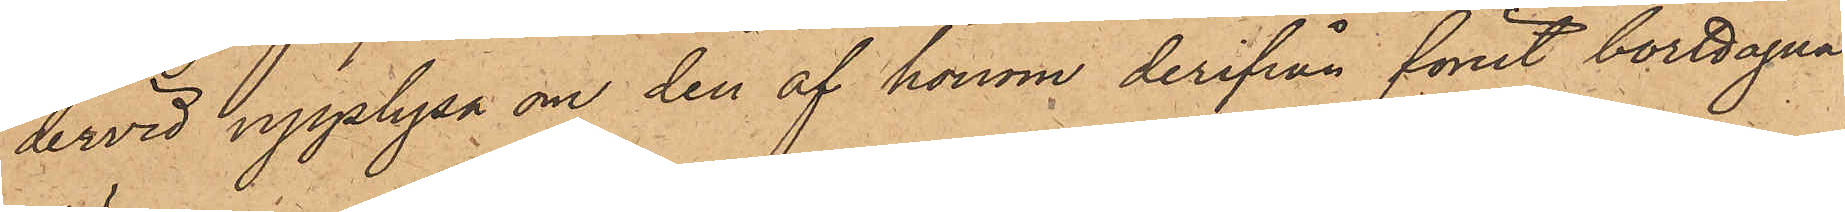dervid upplysa om den af honom derifrån förut borttagna
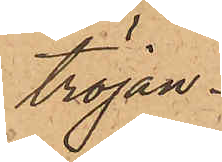tröjan.
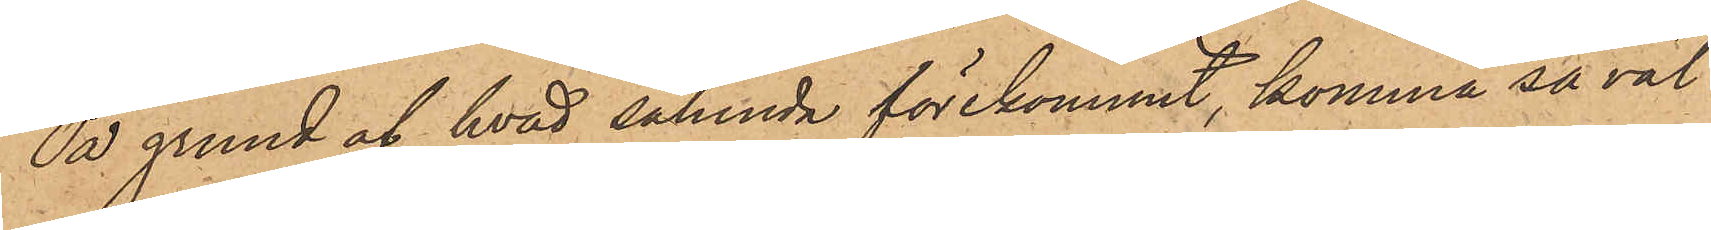På grund af hvad sålunda förekommit, komma så väl
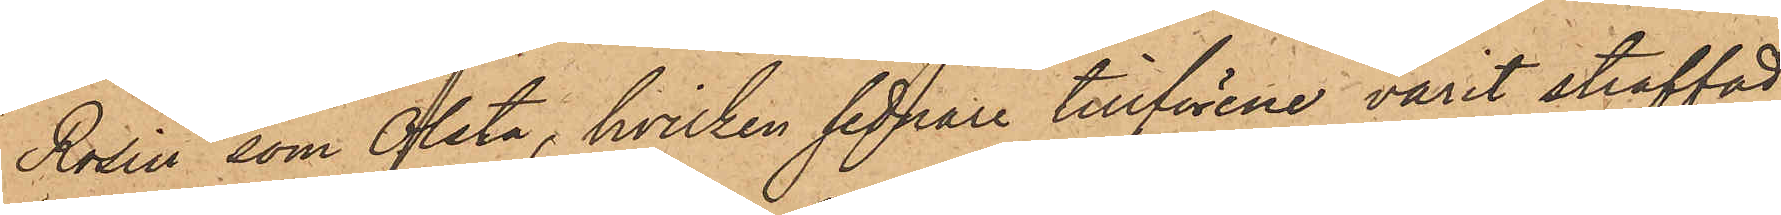Rosén, som Olsta, hvilken sednare tillförene varit straffad
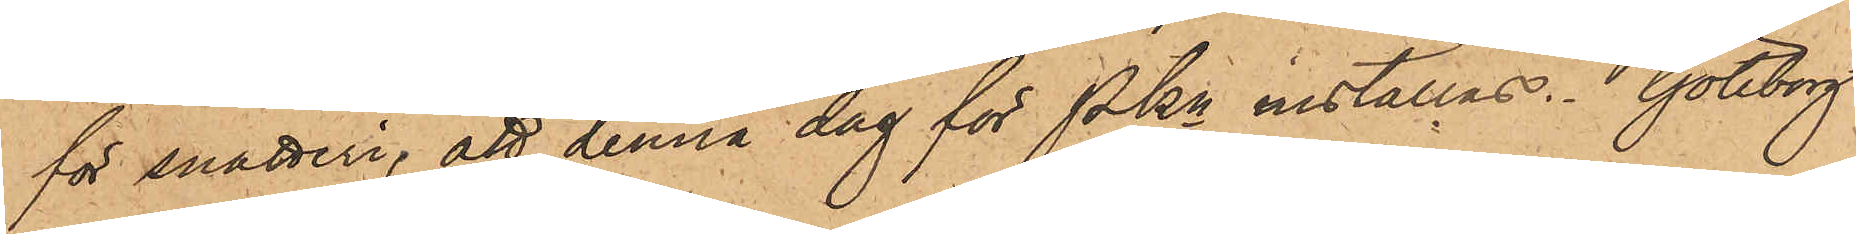för snatteri, att denna dag för PKn inställas. Göteborg
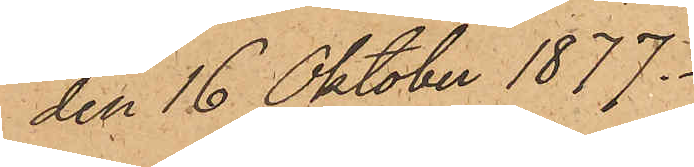den 16 Oktober 1877.
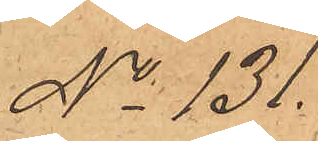No 131.
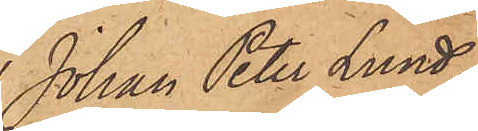Johan Peter Lund¬
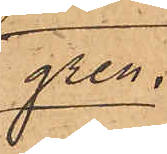gren.
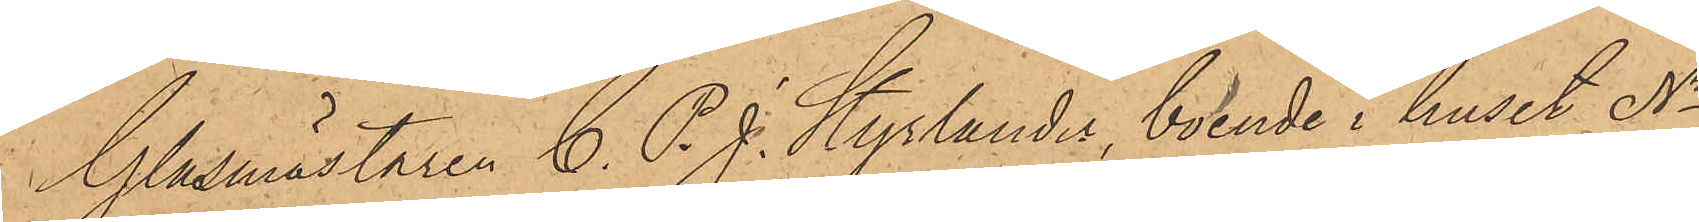Glasmästaren C. P. J. Styrlander, boende i huset No
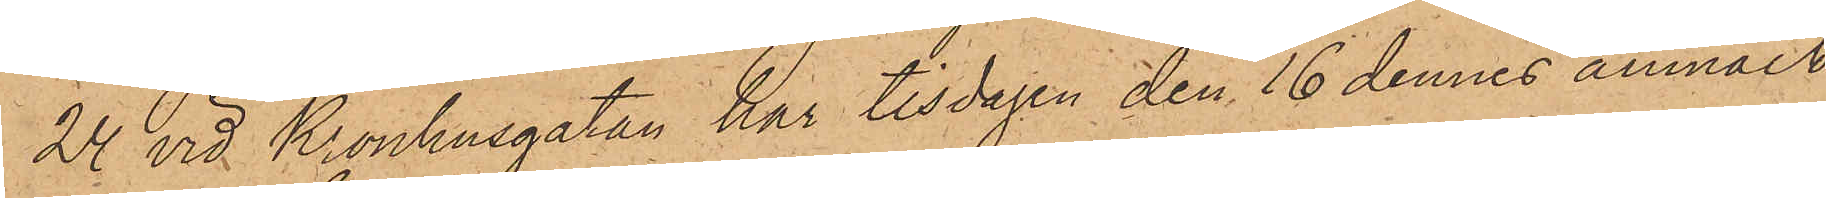24 vid Kronhusgatan har tisdagen den 16 dennes anmält,
